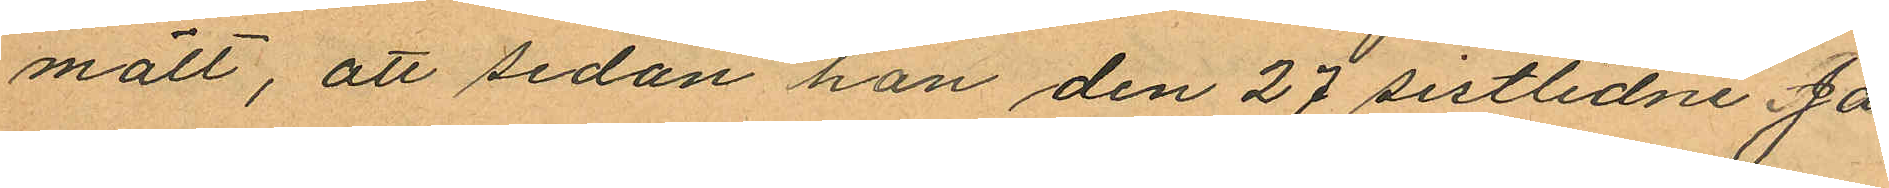mält, att sedan han den 27 sistlidne Ja¬
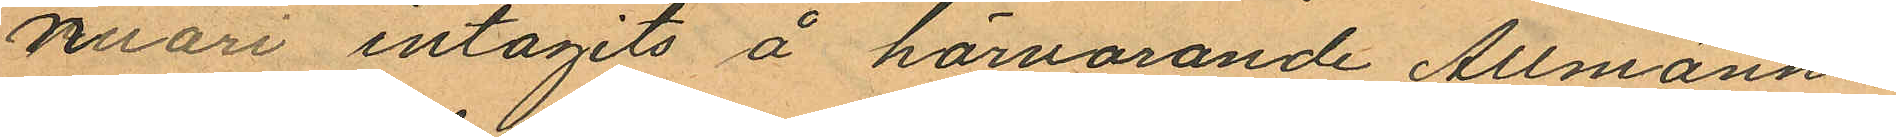nuari intagits å härvarande Allmänna
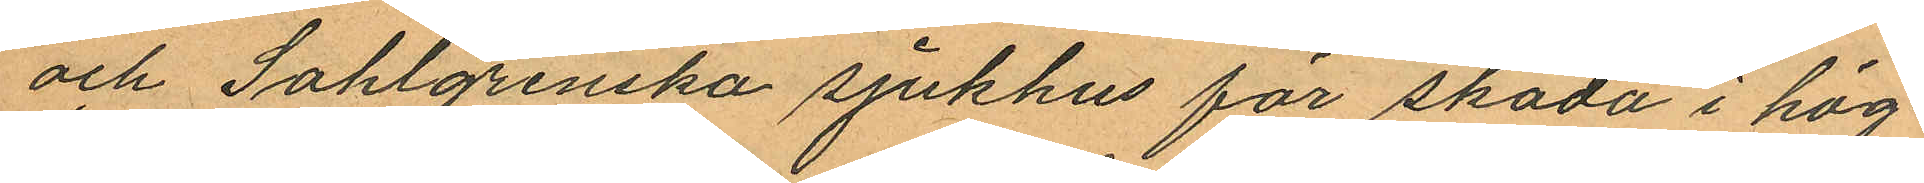och Sahlgrenska sjukhus för skada i hög¬
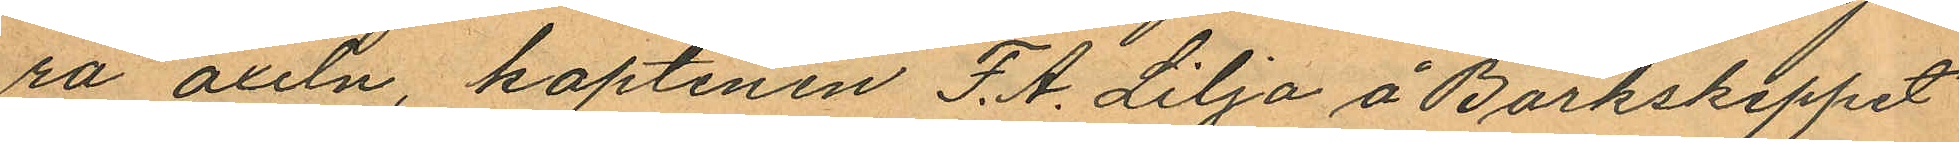ra axeln, kaptenen F. A. Lilja å Barkskeppet
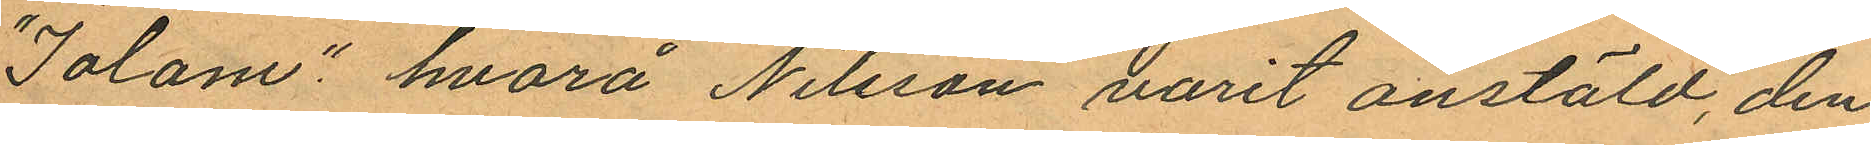"Jolani" hvarå Nilsson varit anstäld, den
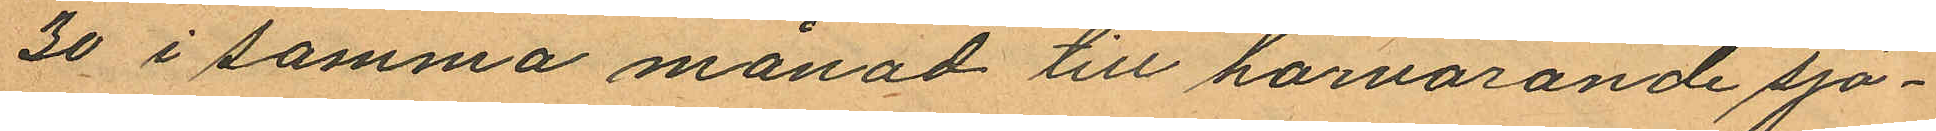30 i samma månad till härvarande sjö¬
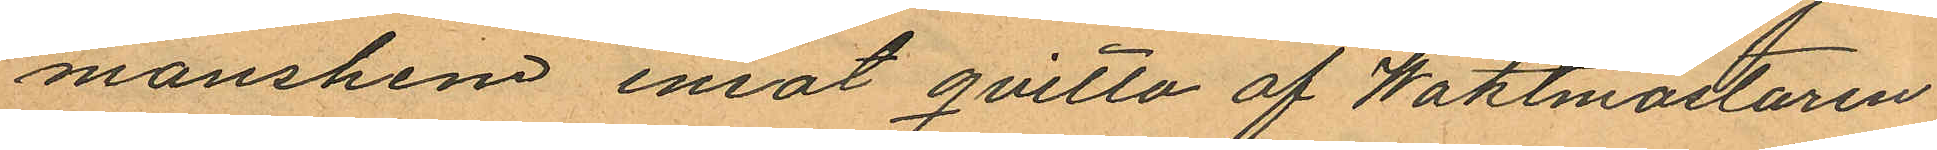manshem emot qvitto af Waktmästaren
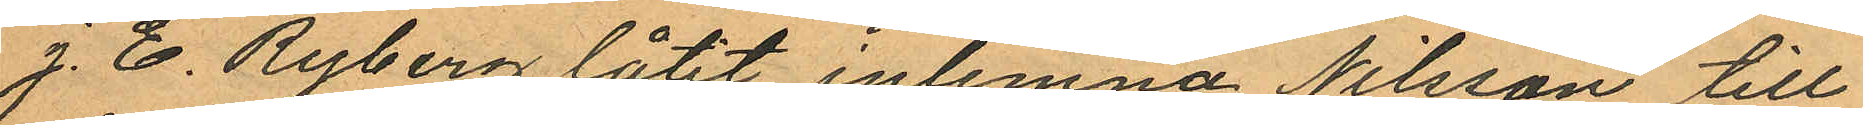J. E. Ryberg låtit inlemna Nilsson till
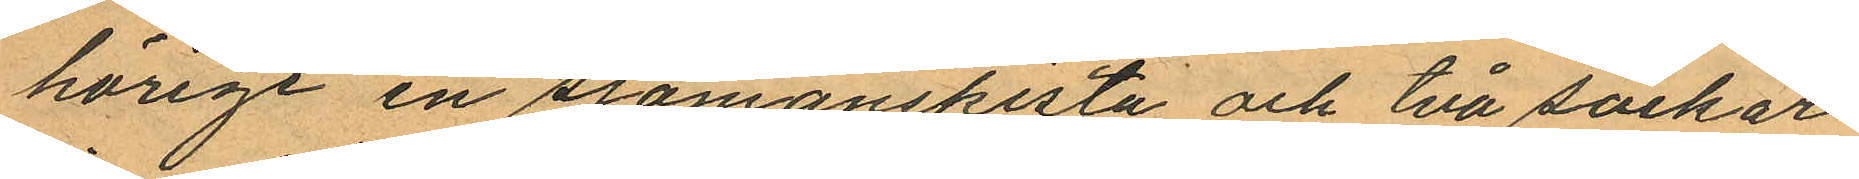hörige en sjömanskista och två säckar
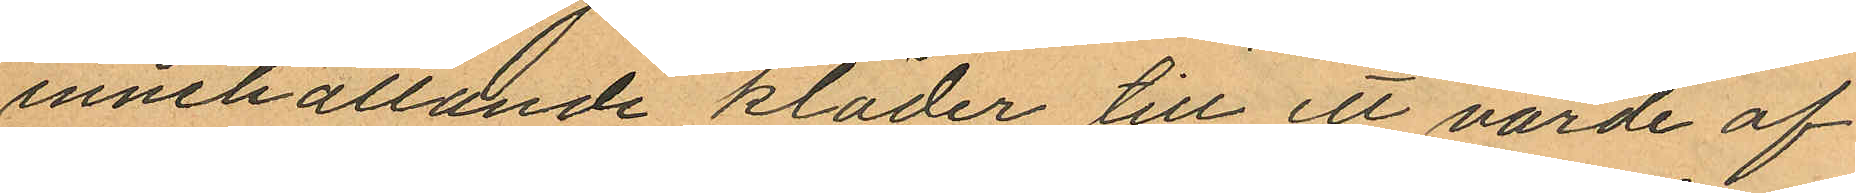innehållande kläder till ett värde af
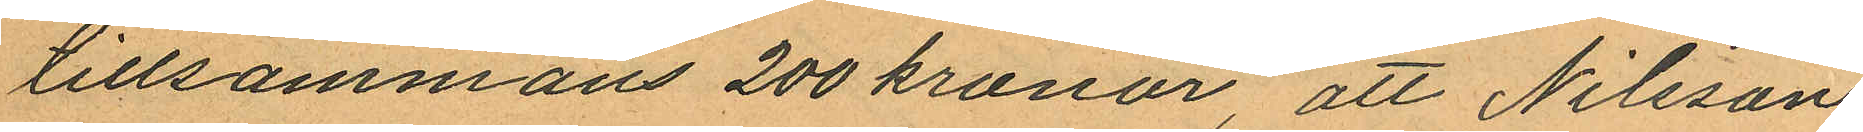tillsammans 200 kronor, att Nilsson
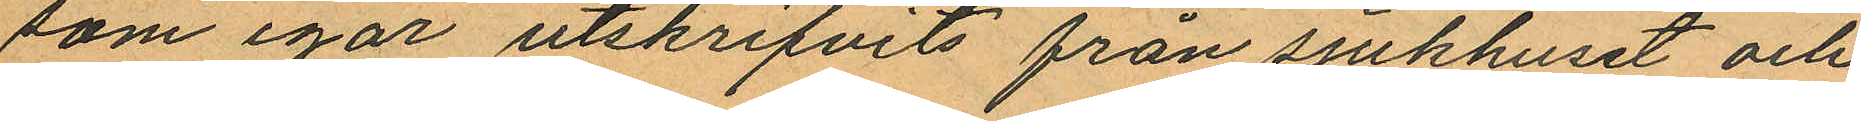som igår utskrifvits från sjukhuset och
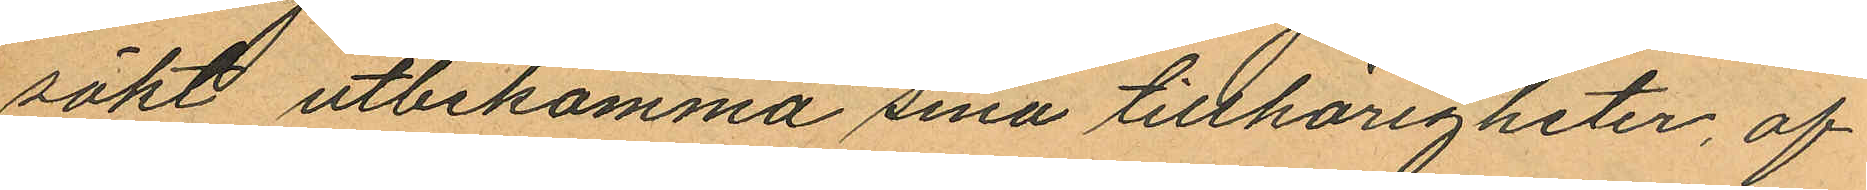sökt utbekomma sina tillhörigheter, af
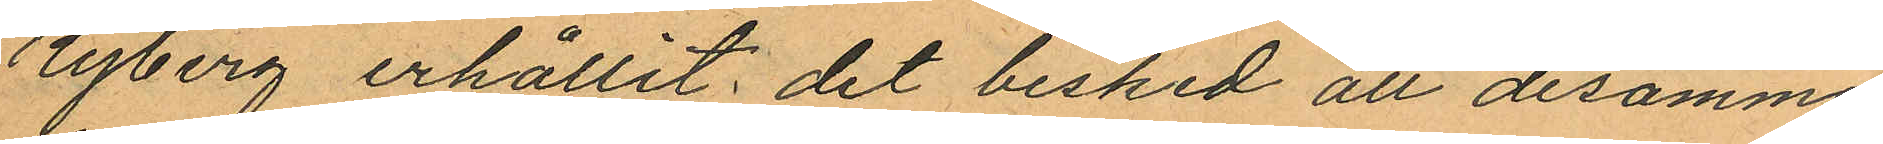Ryberg erhållit det besked att desamma
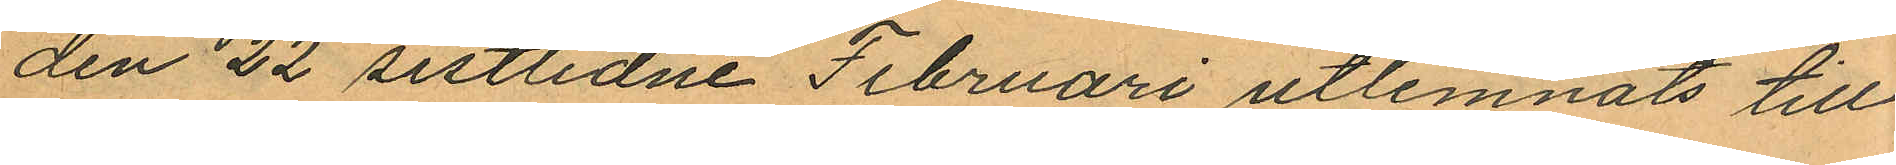den 22 sistlidne Februari utlemnats till
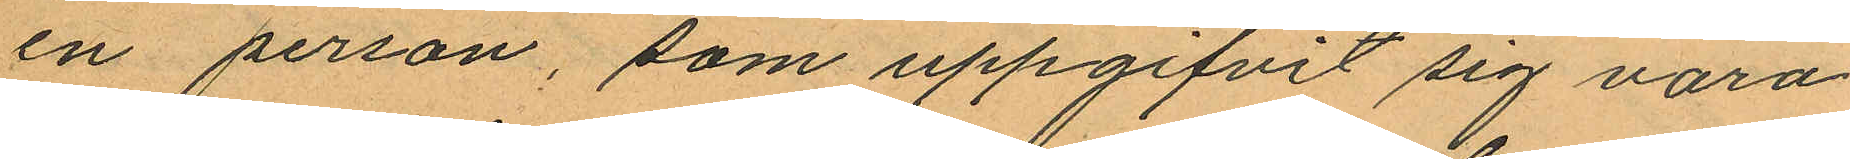en person, som uppgifvit sig vara
